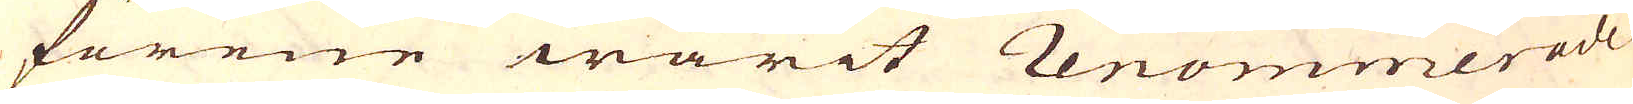förene warit renommerade
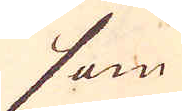som
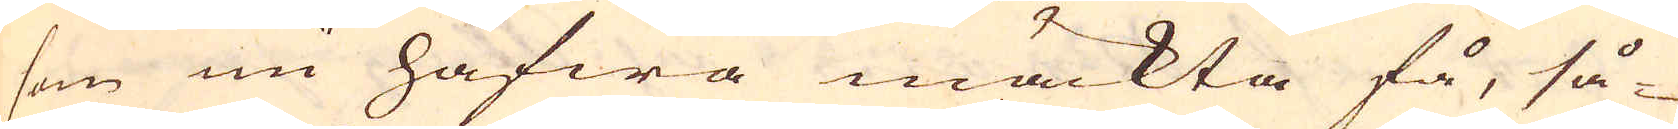som nu hafwa mäckta få, så-
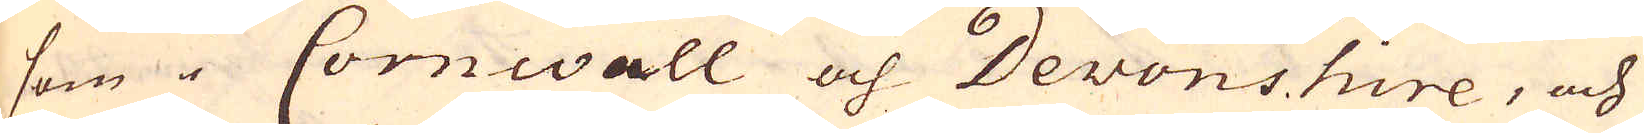som i Cornwall och Devonshire, och
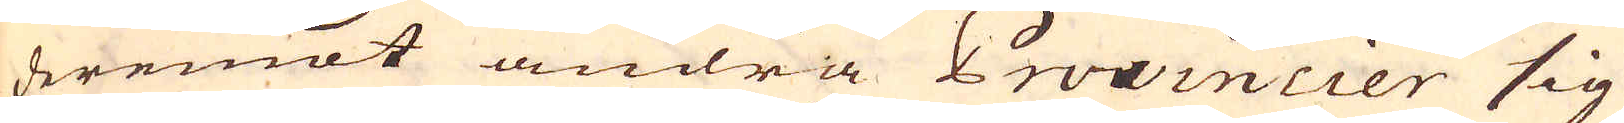deremot andra Provincier sig
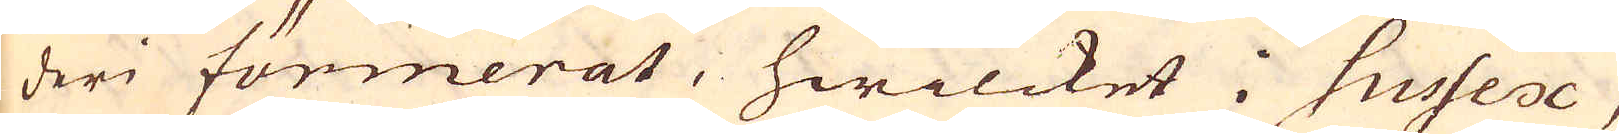deri förmerat, hwilcket i Sussex,
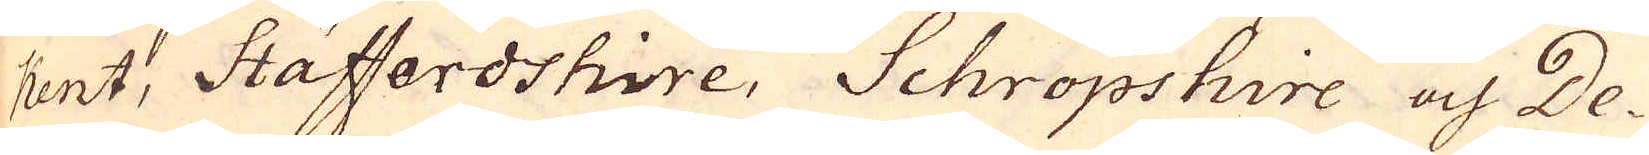Kent, Stäffordshire, Schropshire och De-
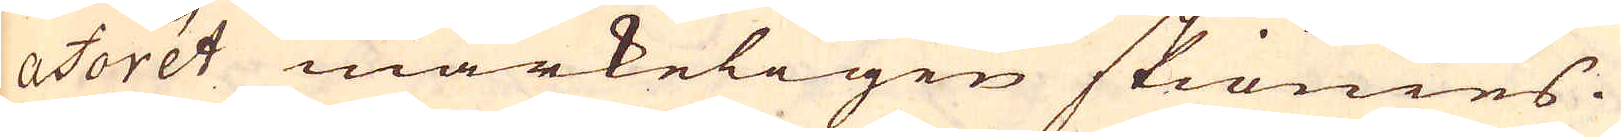aforét märkeligen skiönies.
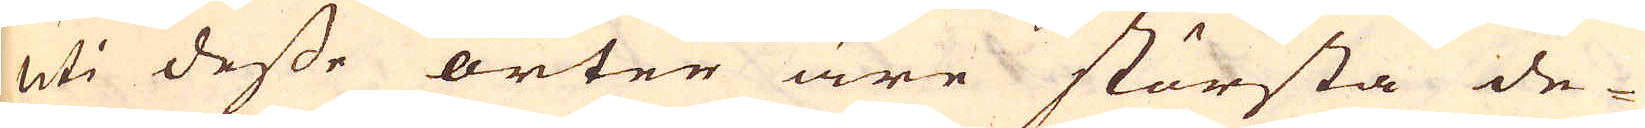Uti desse orter äre största de-
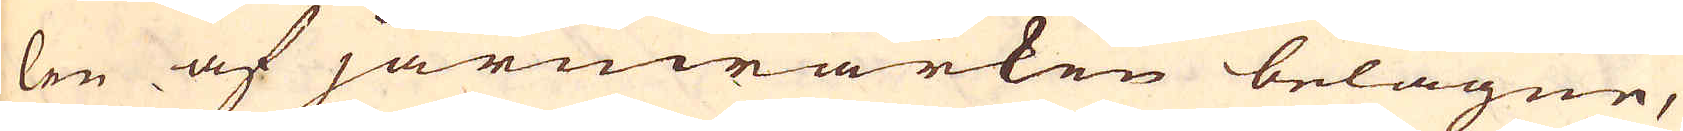len af järnwärken belagne,
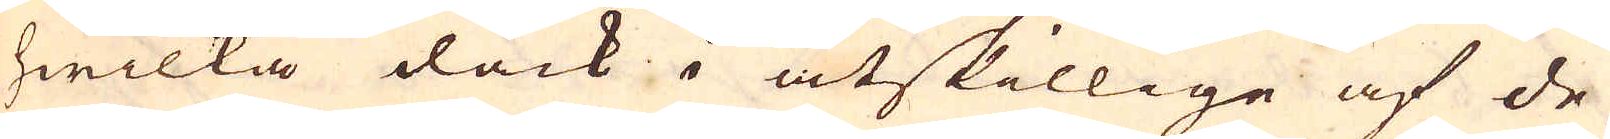hwilka dåck i åtskillige af de
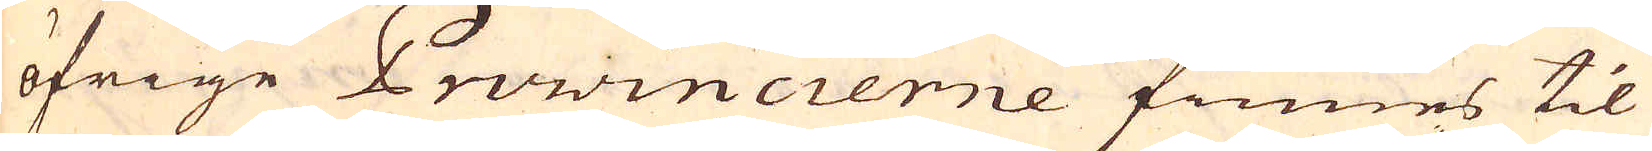öfrige Provincierne finnes til
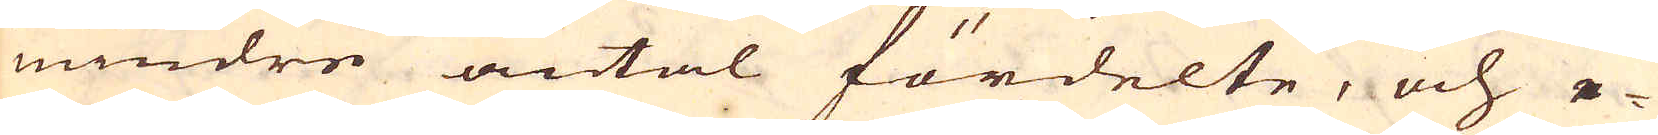mindre antal fördelte, och e-
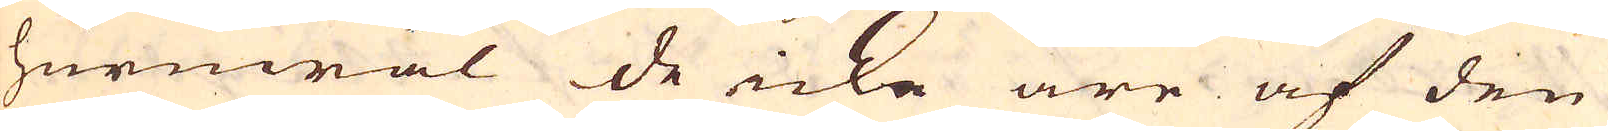huruwäl de icke äre af den
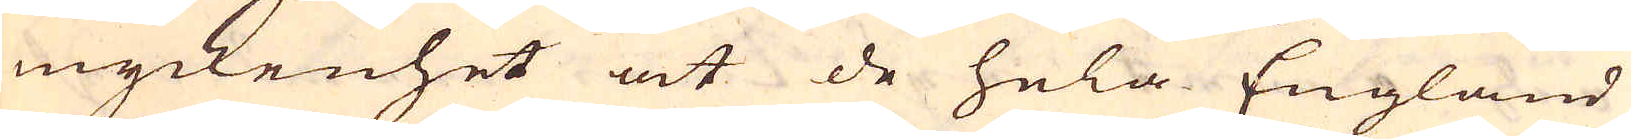myckenhet at de hela England
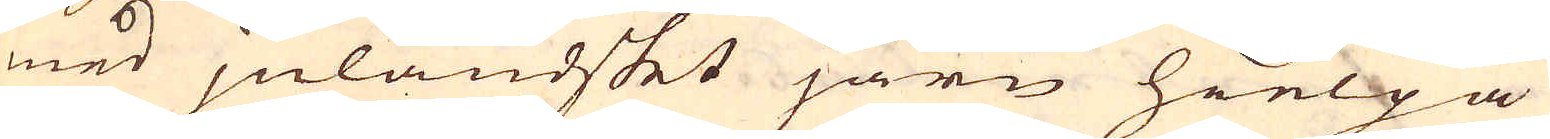med jnländskt järn hielpa
